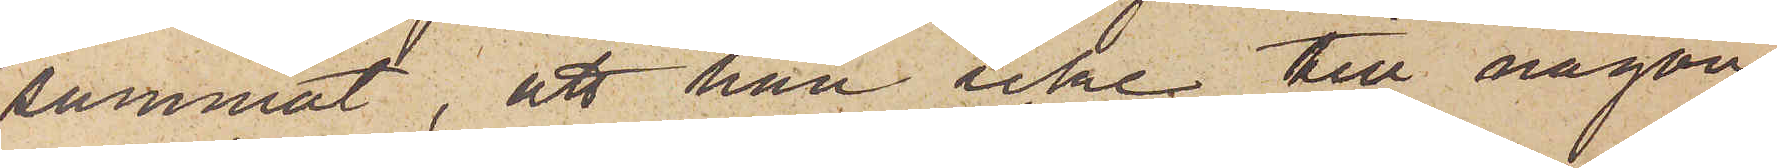sammat, att han icke till någon
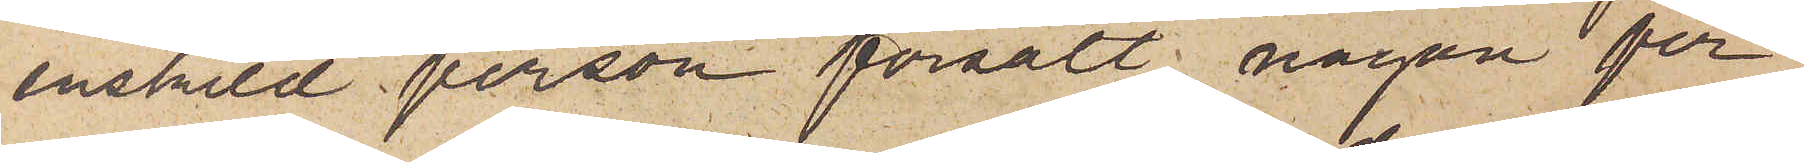enskild person försålt någon per¬
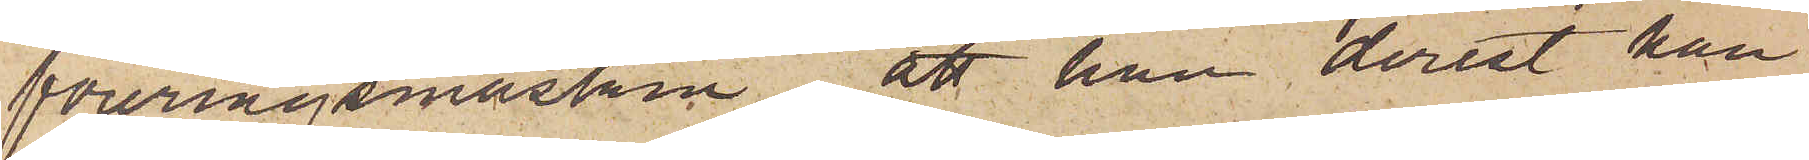foreringsmaskin, att han derest han
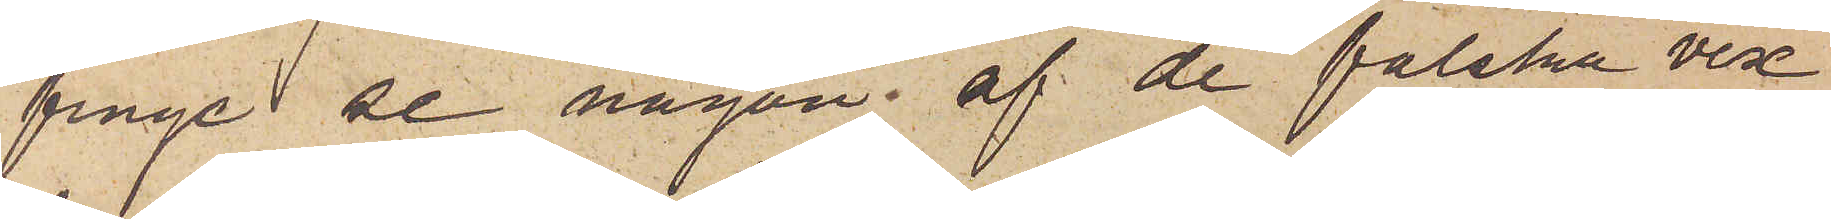finge se någon af de falska vex¬
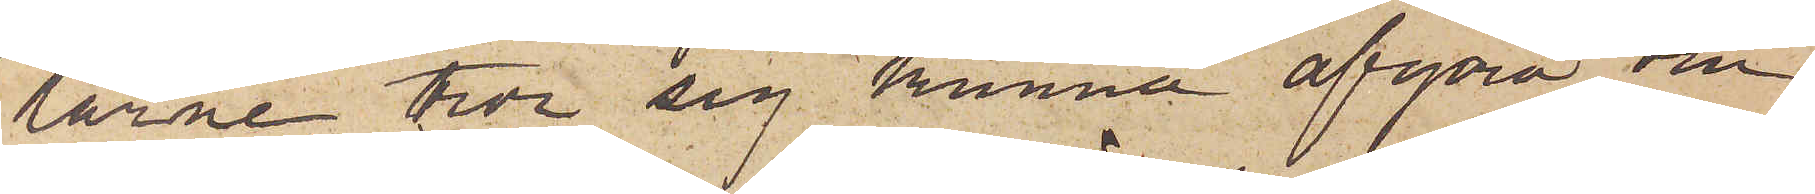larne tror sig kunna afgöra om
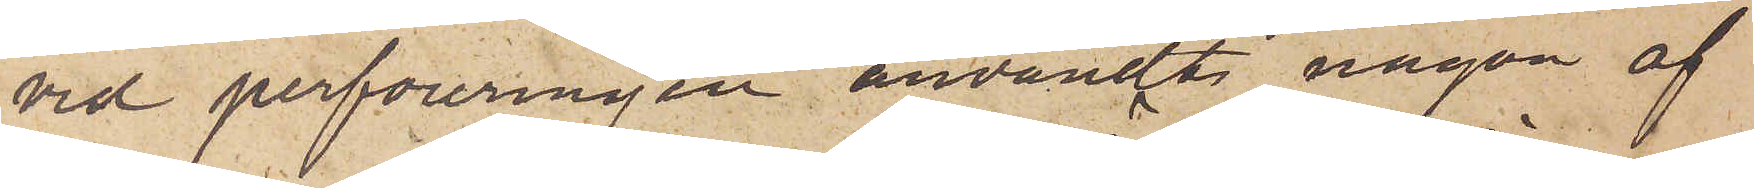vid perforeringen användts någon af
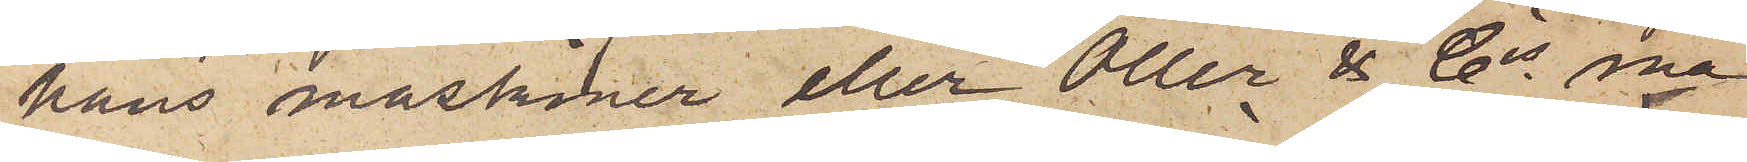hans maskiner eller Öller & Cos ma¬
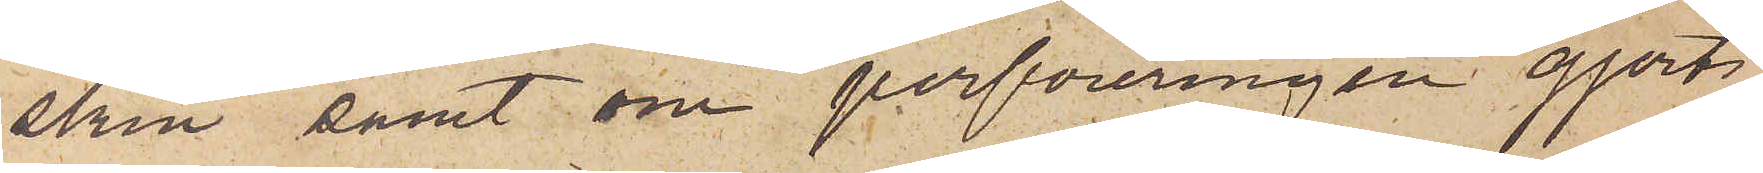skin, samt om perforeringen gjorts
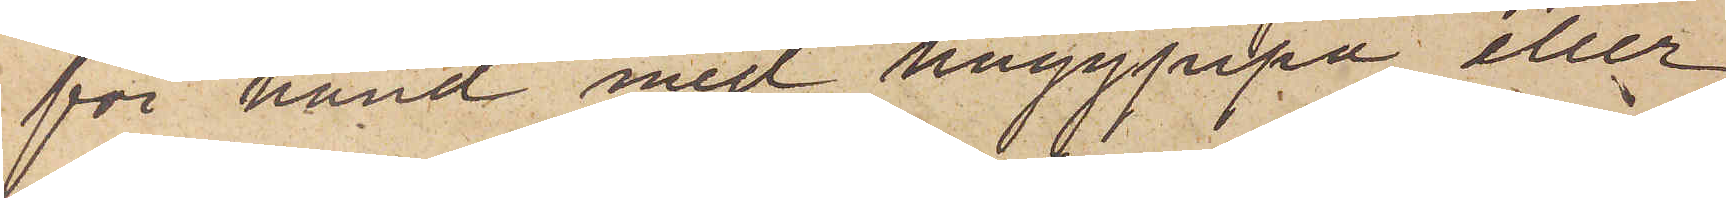för hand med huggpipa eller
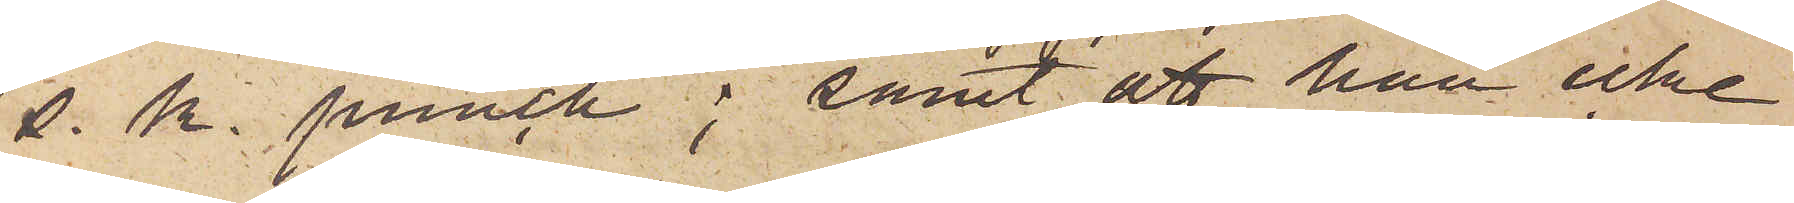s. k. punch; samt att han icke
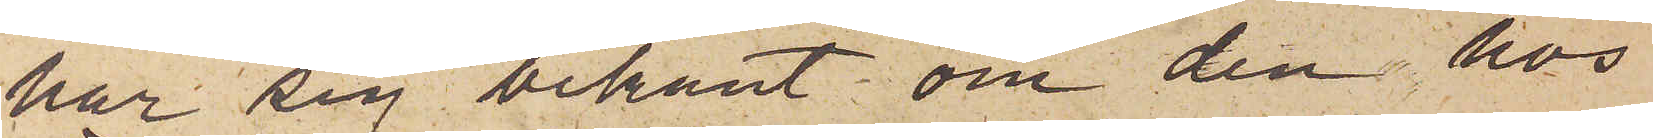har sig bekant om den hos
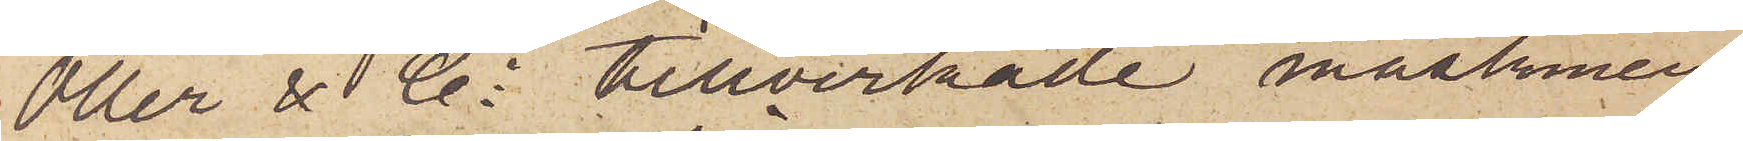Öller & Co tillverkade maskinen
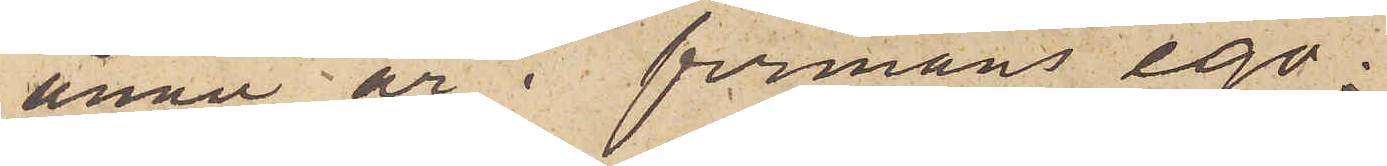ännu är i firmans ego.
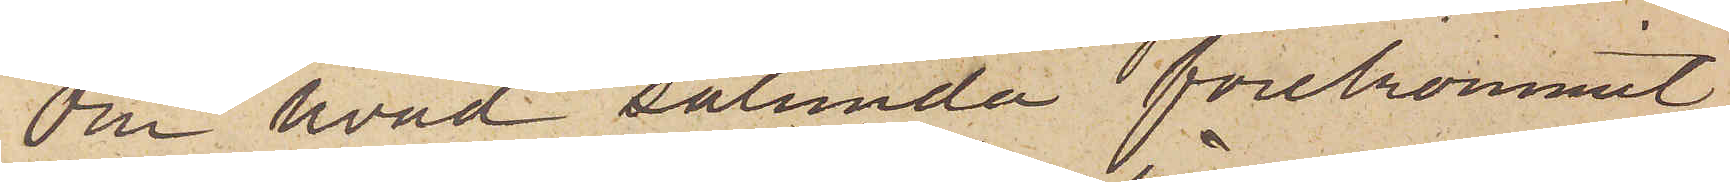Om hvad sålunda förekommit
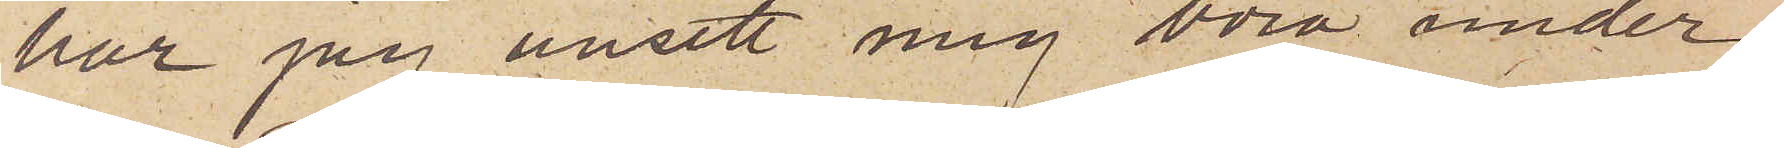har jag ansett mig böra under¬
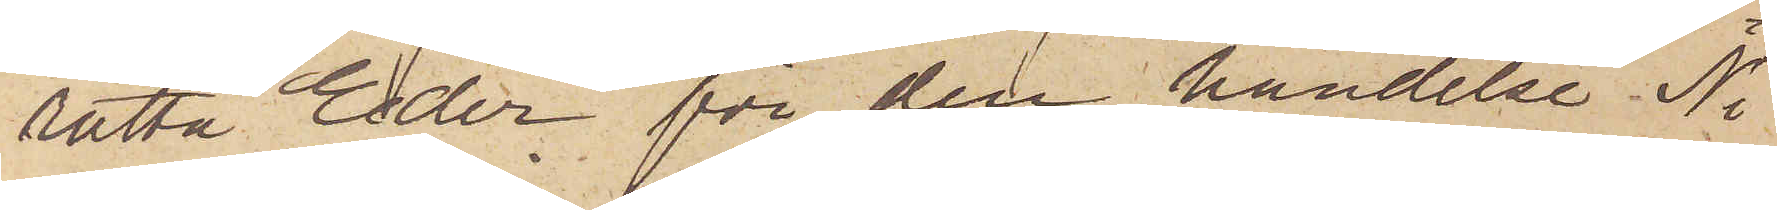rätta Eder för den händelse Ni
